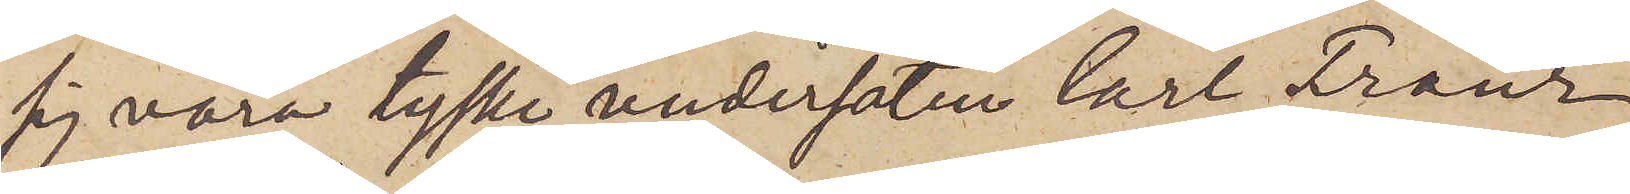sig vara tyske undersåten Carl Franz
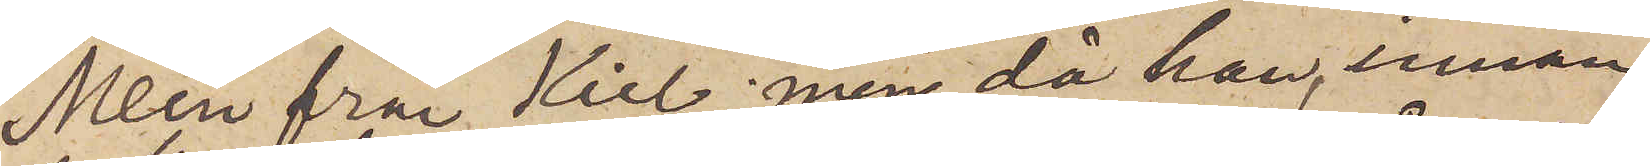Mein från Kiel, men, då han, innan
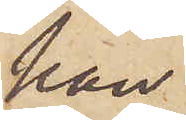han
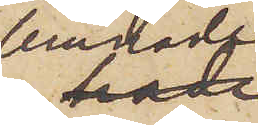lemnade
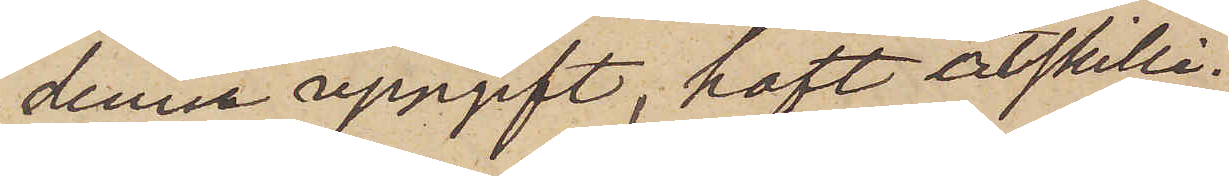denna uppgift, haft åtskilli¬
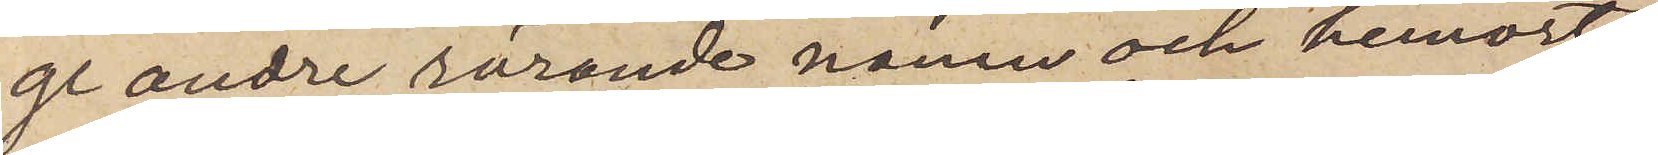ge andre rörande namn och hemort,
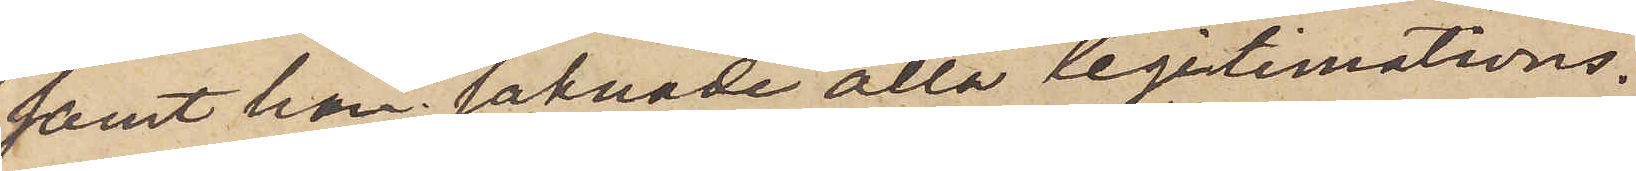samt han saknade alla legitimations¬
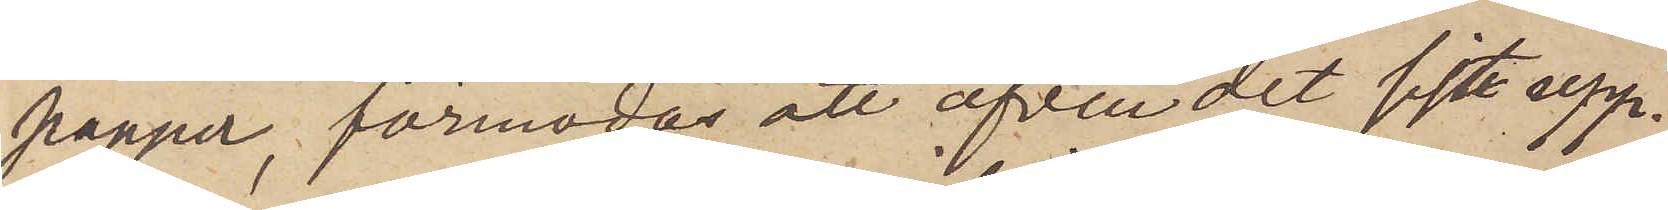papper, förmodas att äfven det sist upp¬
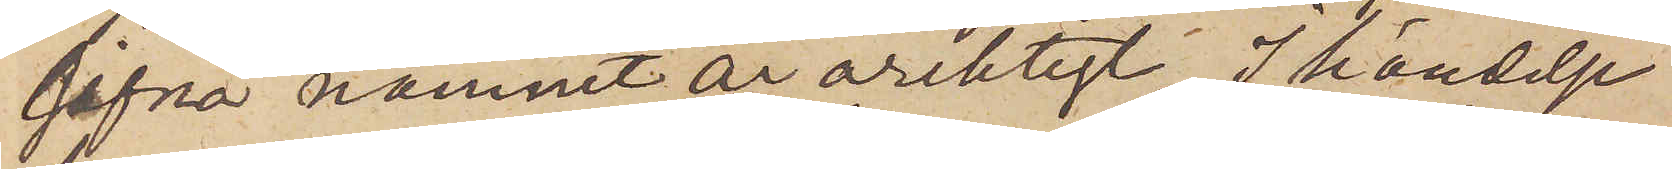gifna namnet är oriktigt. I händelse
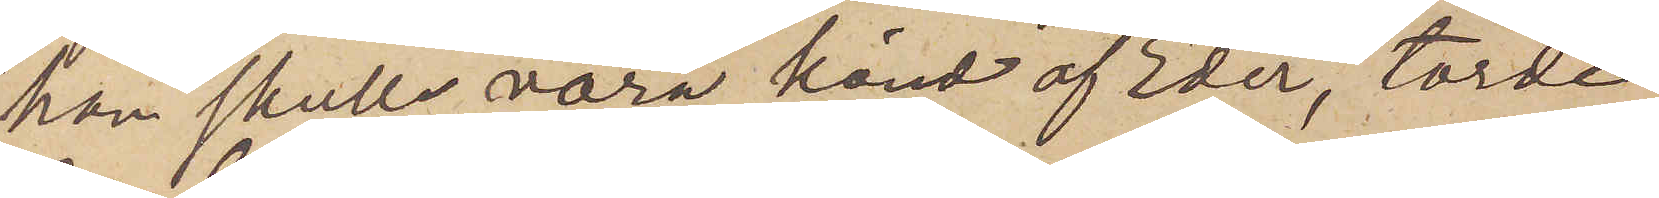han skulle vara känd af Eder, torde
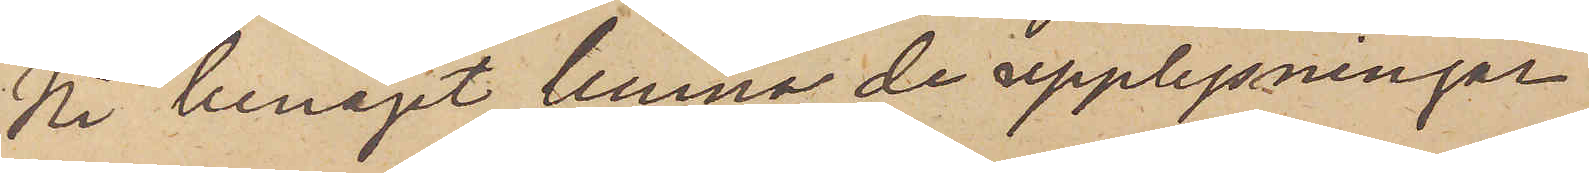Ni benäget lemna de upplysningar
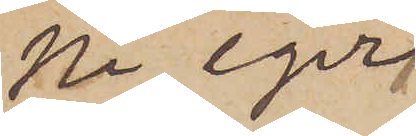Ni eger
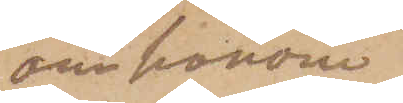om honom.
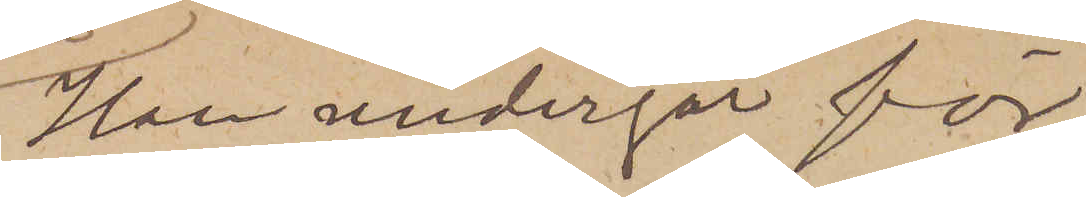Han undergår för
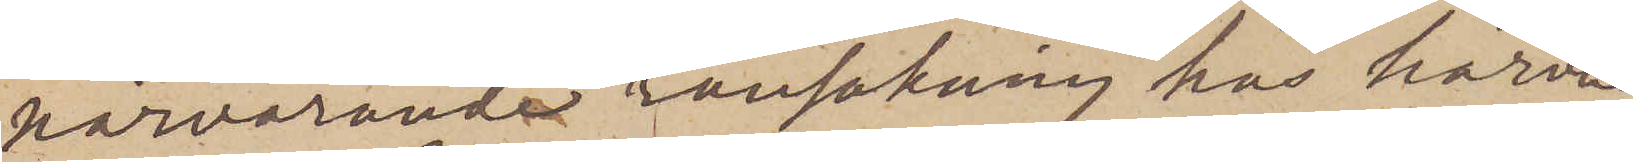närvarande ransakning hos härva¬
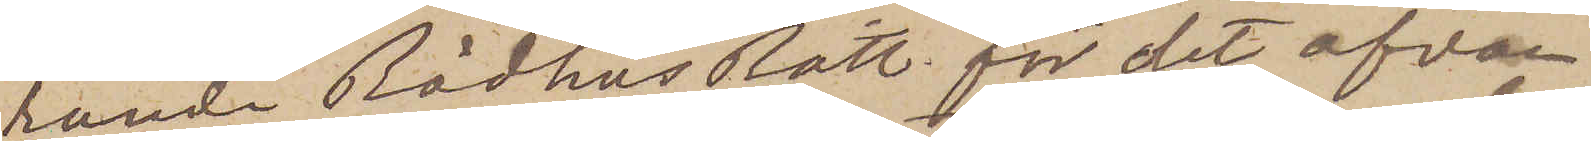rande Rådhus Rätt för det ofvan¬
